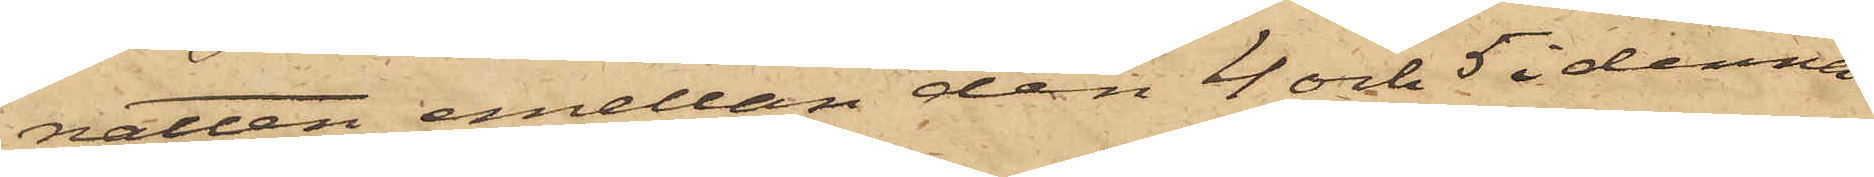natten emellan den 4 och 5 i denna
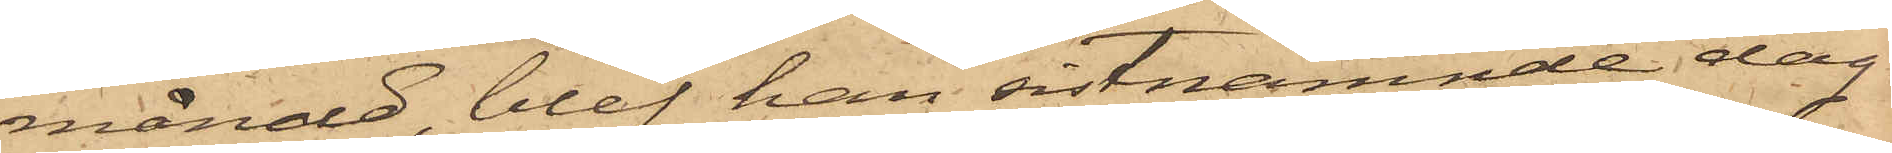månad, blef han sistnämnde dag
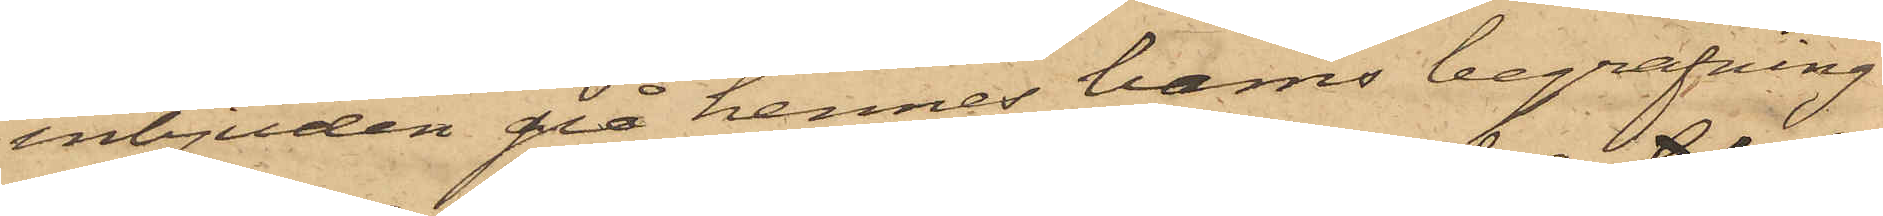inbjuden på hennes barns begrafning,
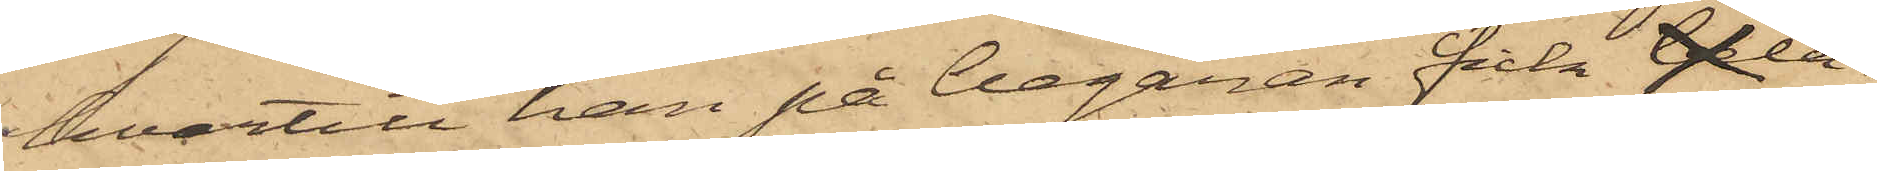hvartill han på begäran fick belå¬
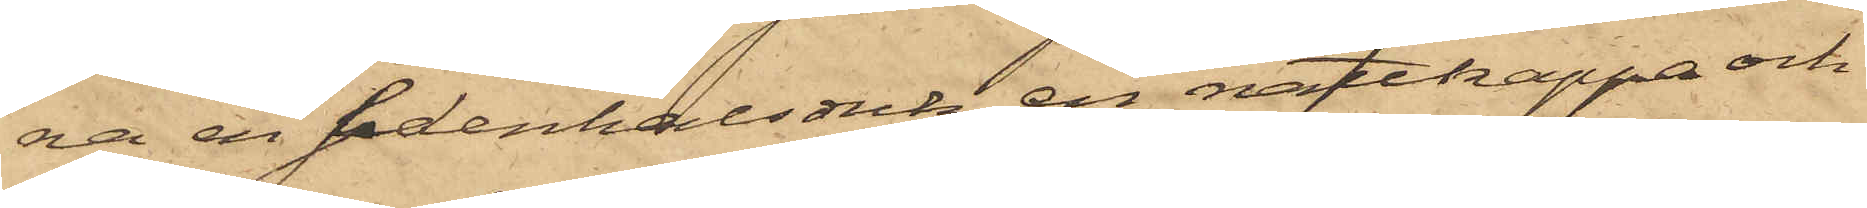na en sidenhalsduk, en nattkappa och
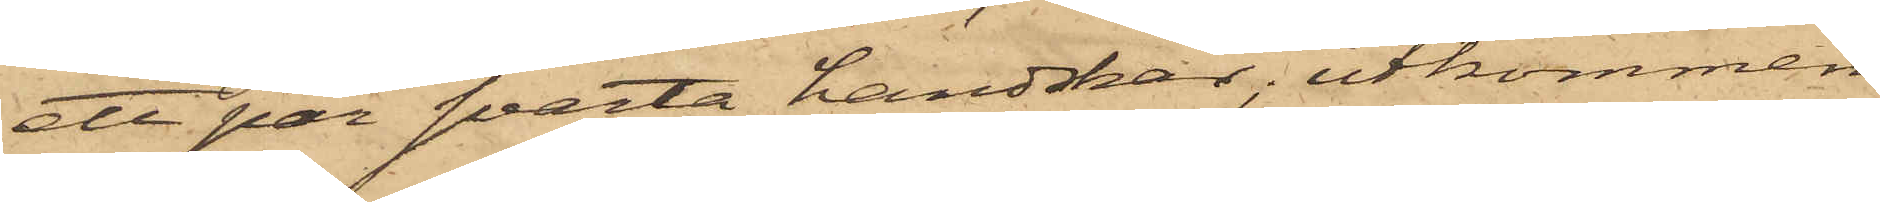ett par svarta handskar; utkommen
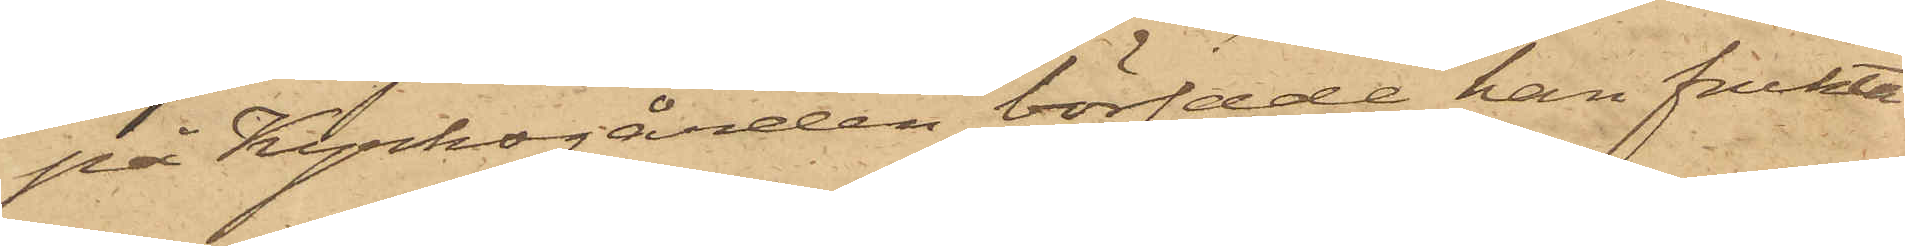på Kyrkogården började han frukta
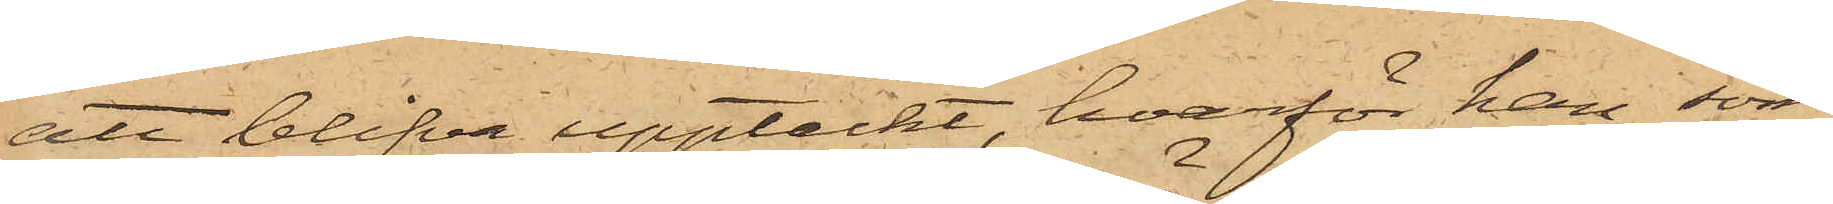att blifva upptäckt, hvarför han, som
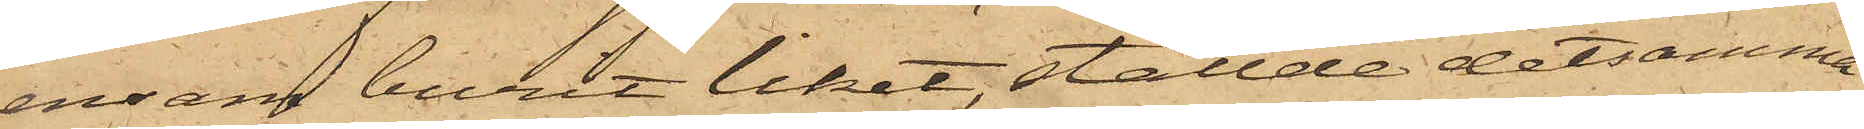ensam burit liket, ställde detsamma
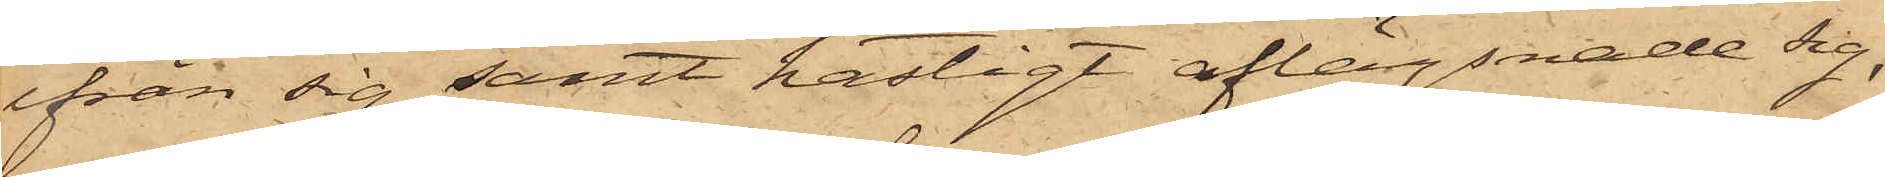ifrån sig samt hastigt aflägsnade sig,
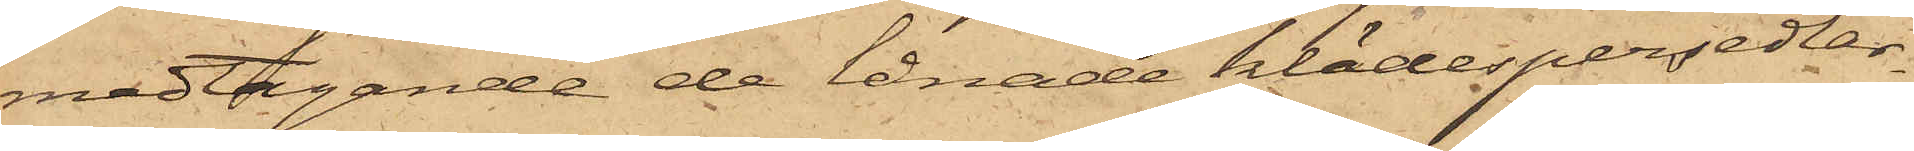medtagande de lånade klädespersedlar¬
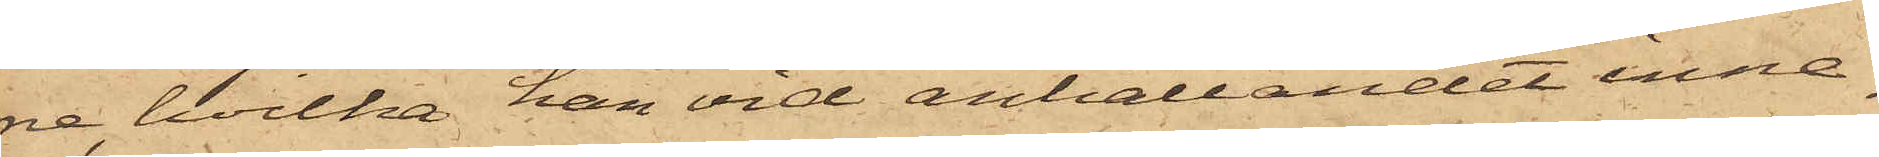ne, hvilka han vid anhållandet inne¬
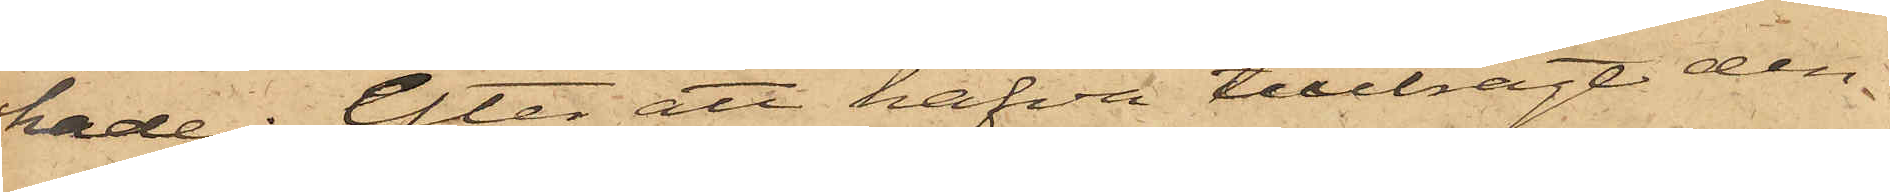hade; efter att hafva tillbragt den
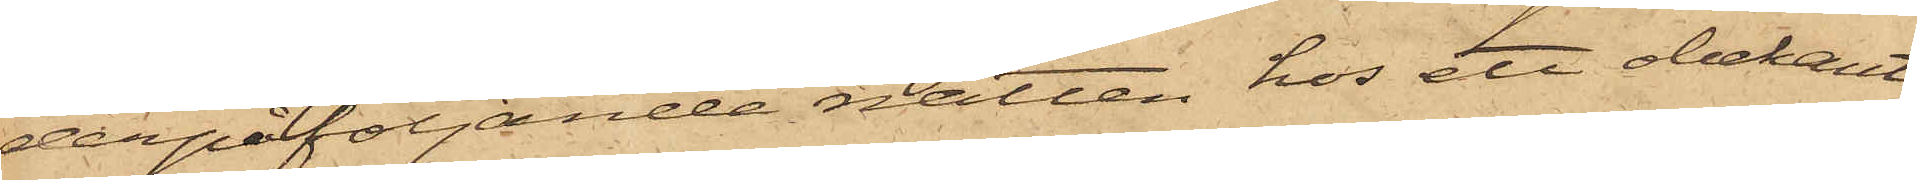derpåföljande natten hos ett obekant
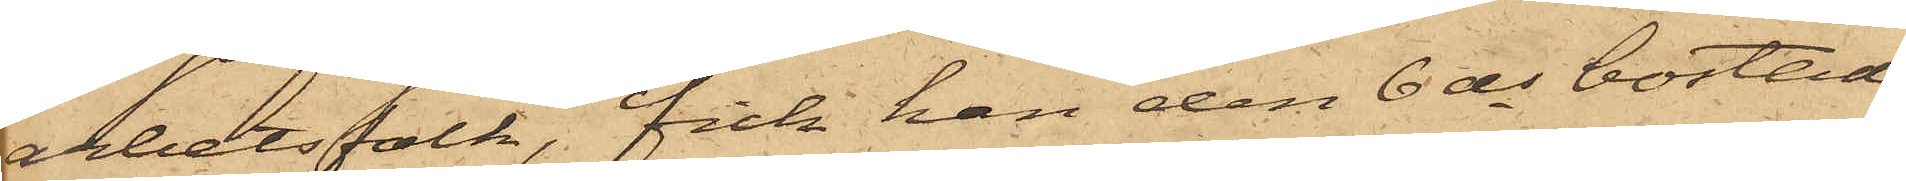arbetsfolk, fick han den 6 ds bostad
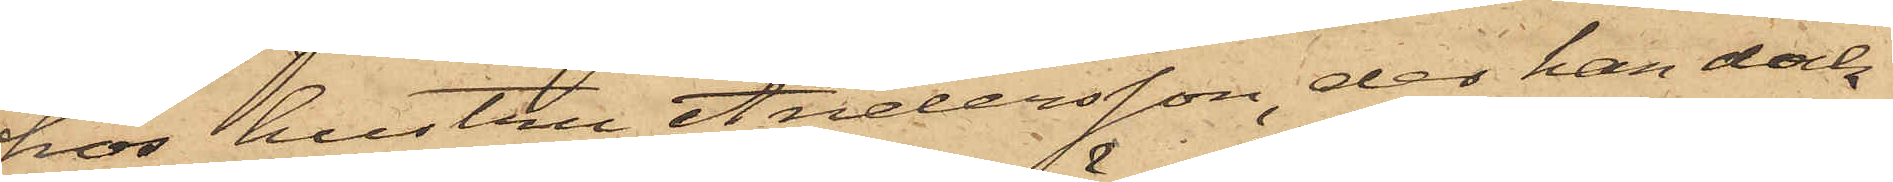hos hustru Andersson, der han dock
